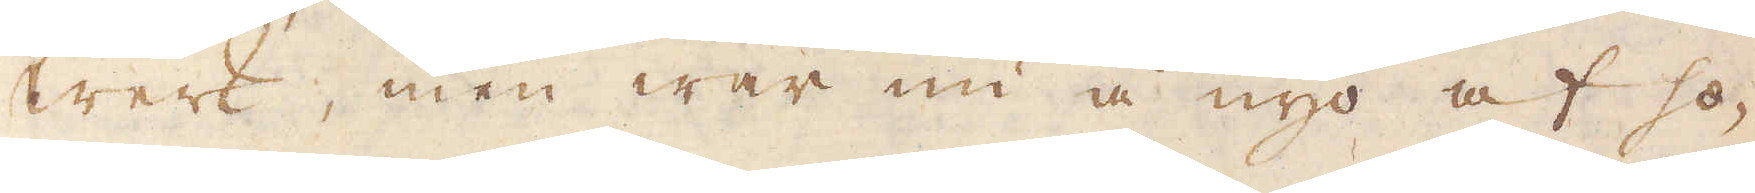Werk, men war nu å nyo af ho-
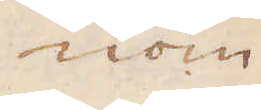nom
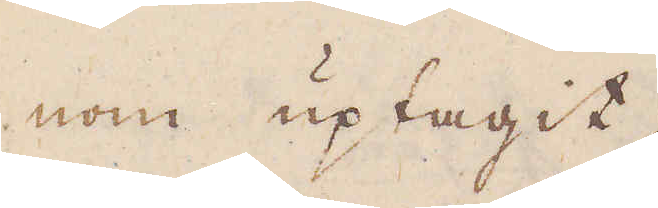nom uptagit.
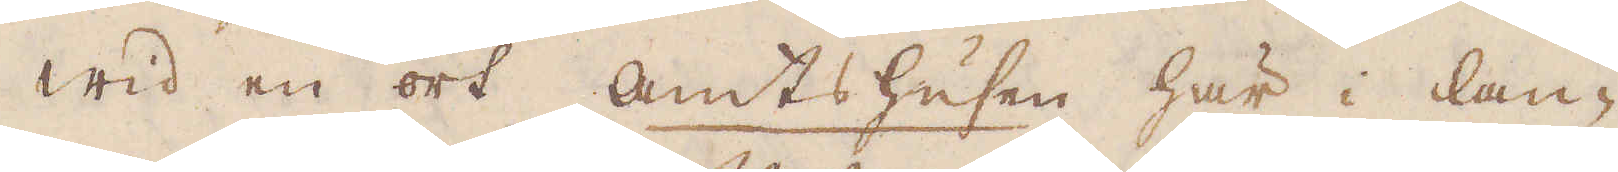Wid en ort Amtshusen här i lan-
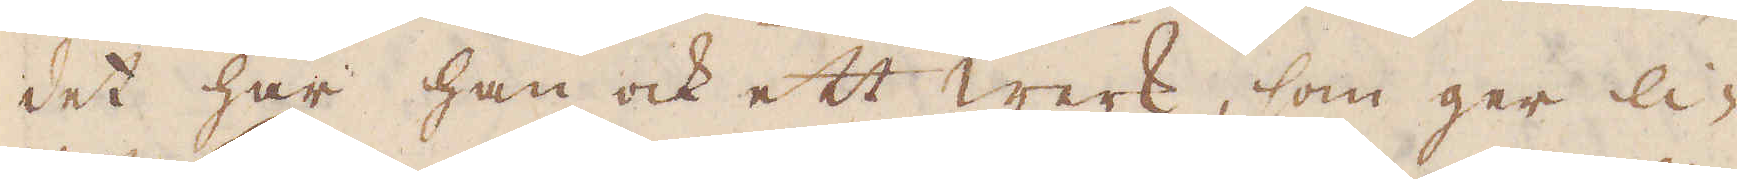det har han ock ett werk, som ger li-
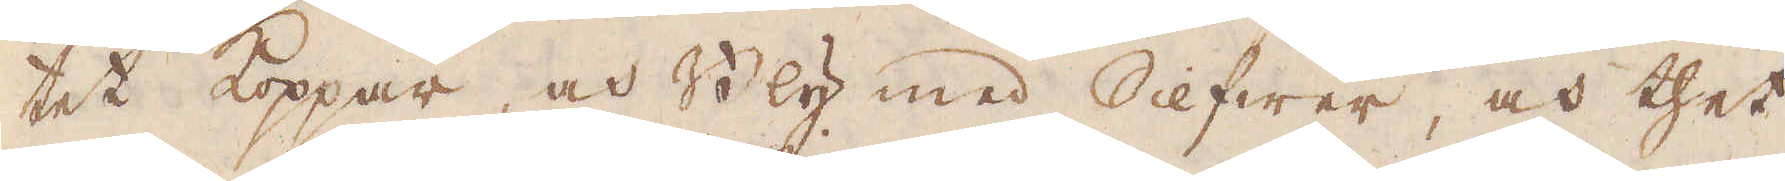tet koppar, och Bly med Silfwer, och thet
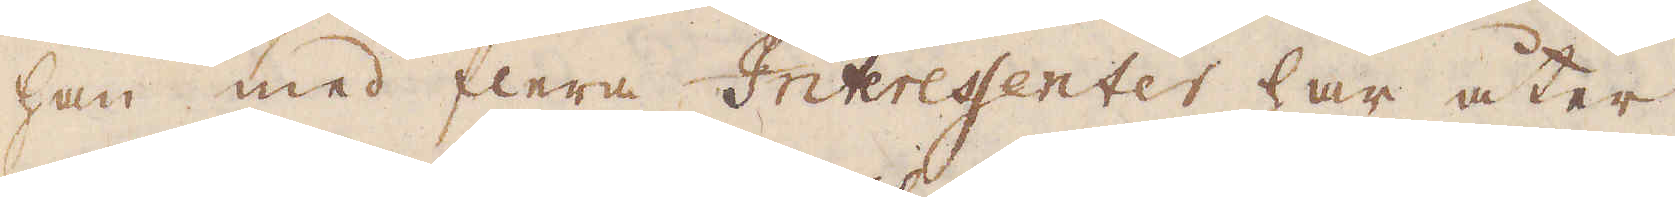han med flera Interessenter har åter
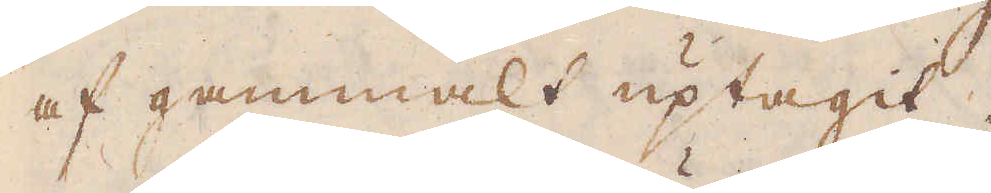af gammalt uptagit.
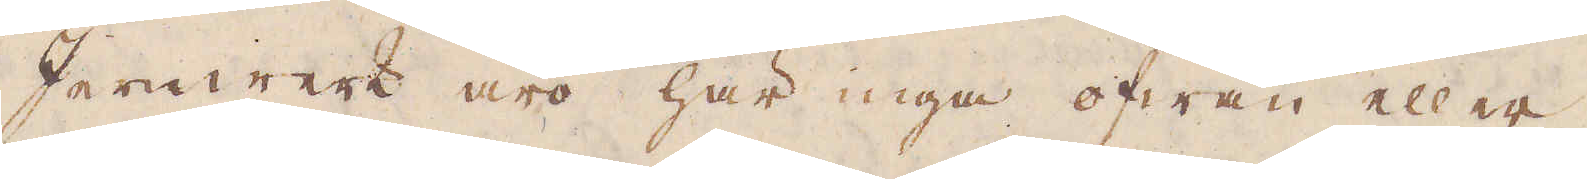Jernwerk äro här inga ofwan eller
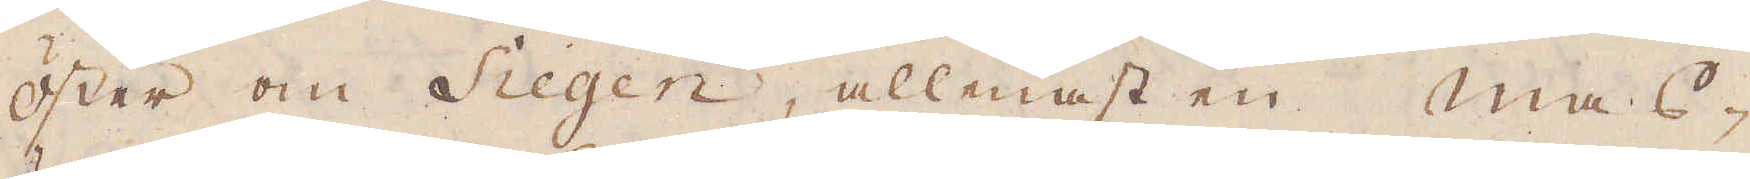öster om Siegen, allenast en mas-
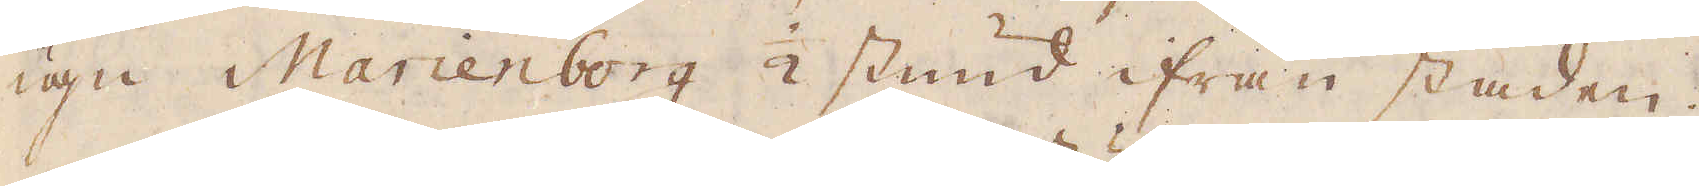ugn Marienborg 1/2 stund ifrån staden.
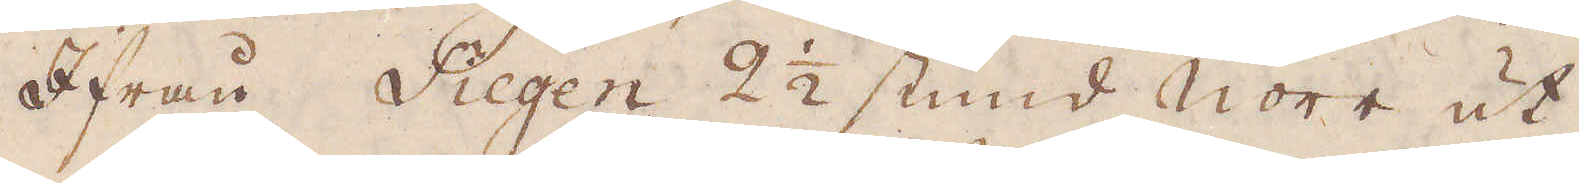Ifrån Siegen 2 1/2 stund Norr ut
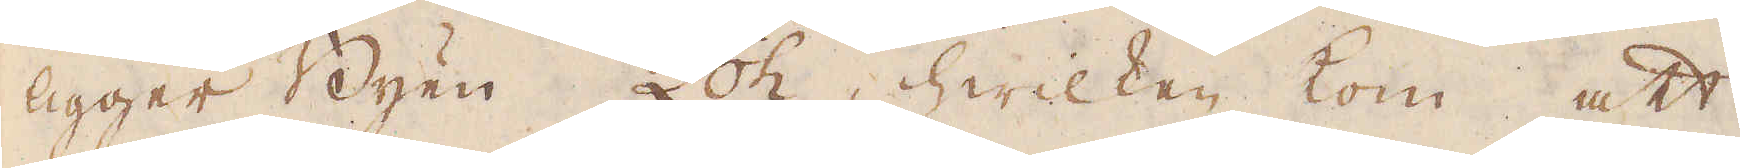ligger Byen Loh, hwilken kom att
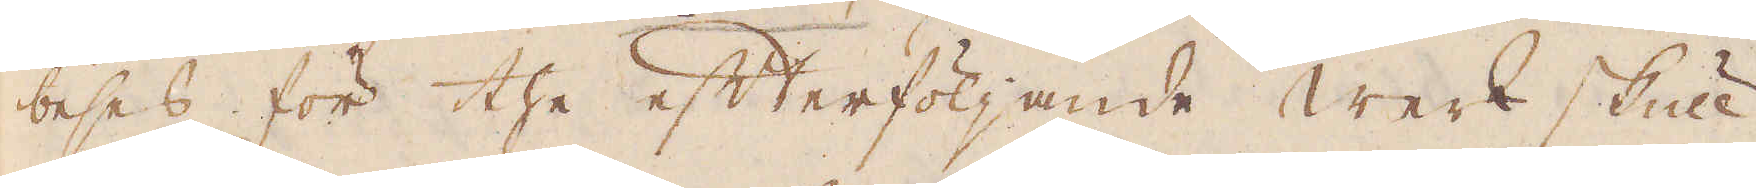beses för the efterföljande Werk skull
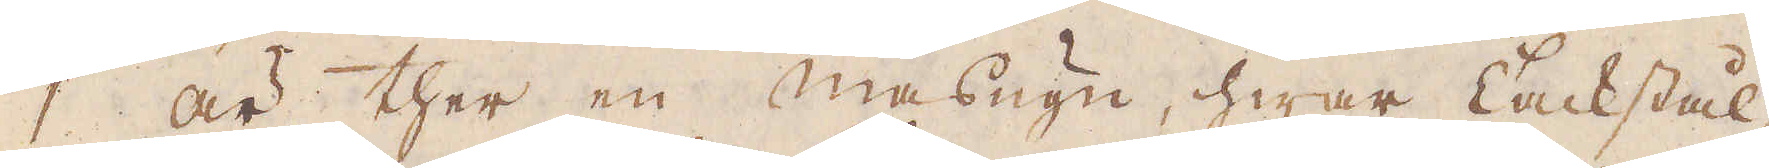1 är ther en masugn, hwar Tackstål-
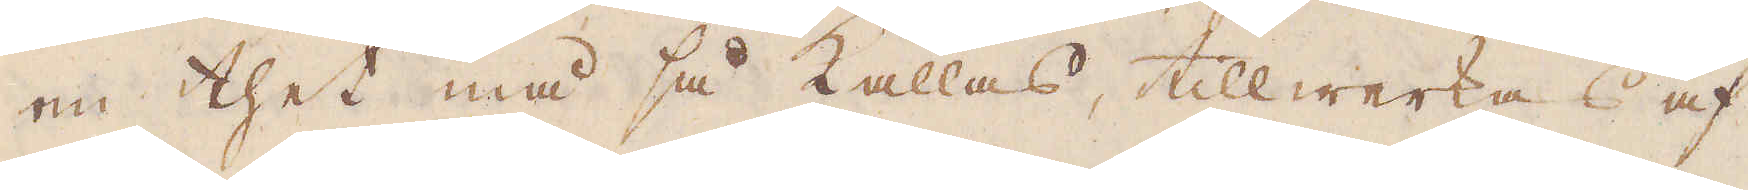en thet må så kallas, tillwerkas af
